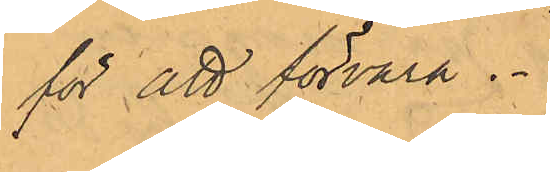för att förvara
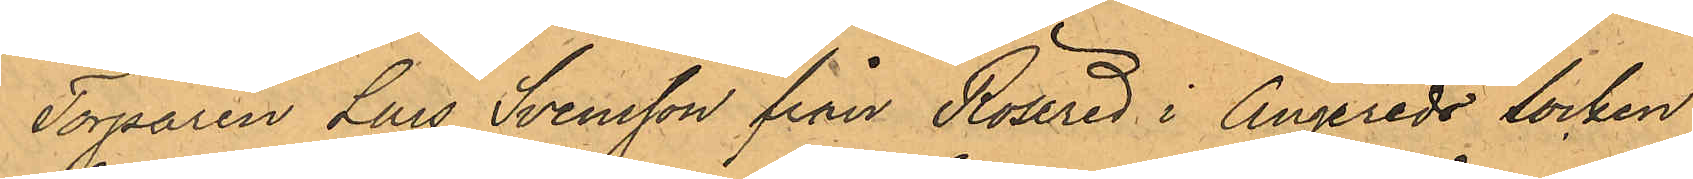Torparen Lars Svensson från Rösered i Angereds Socken
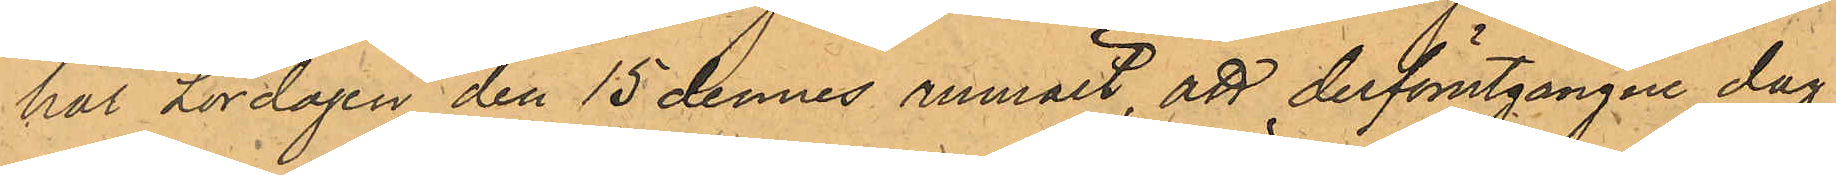har Lördagen den 15 dennes anmält, att derförutgångne dag
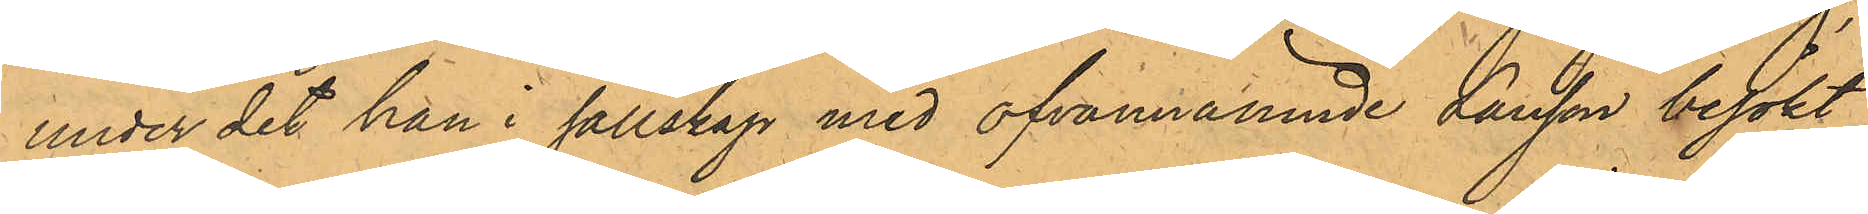under det han i sällskap med ofvannämnde Larsson besökt
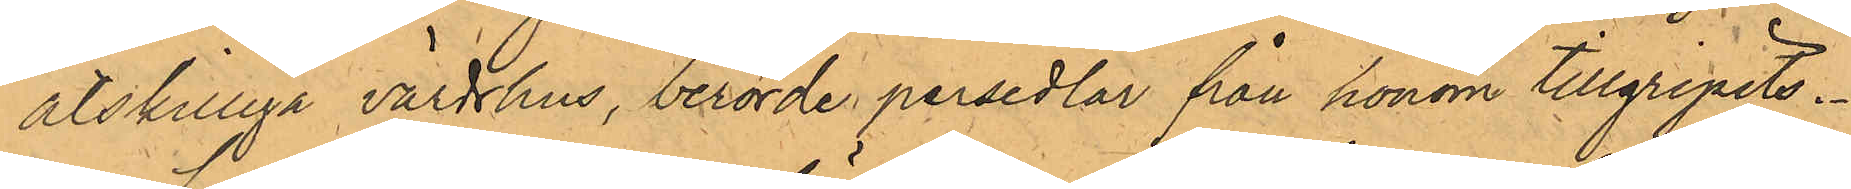åtskilliga värdshus, berörde persedlar från honom tillgripits.
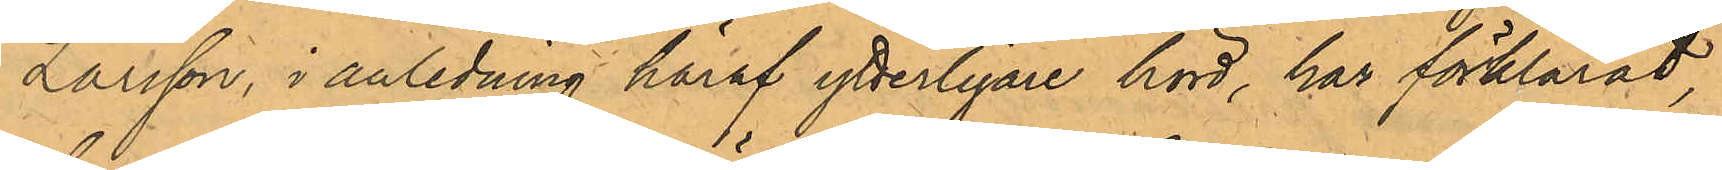Larsson, i anledning häraf ytterligare hörd, har förklarat
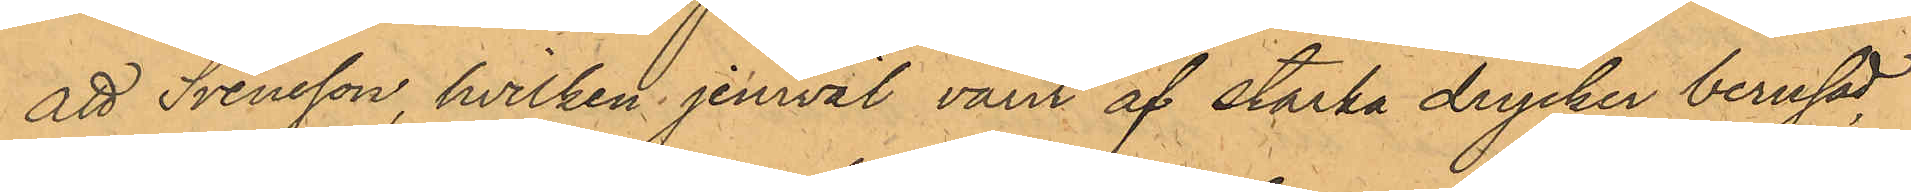att Svensson, hvilken jemväl varit af starka drycker berusad
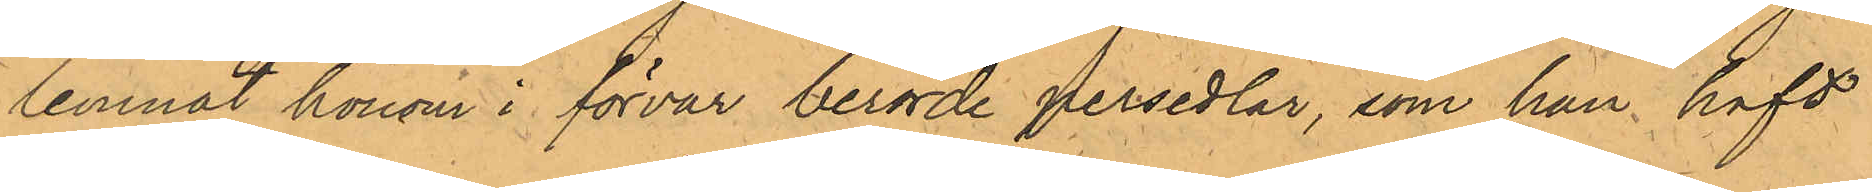lemnat honom i förvar berörde persedlar, som han haft
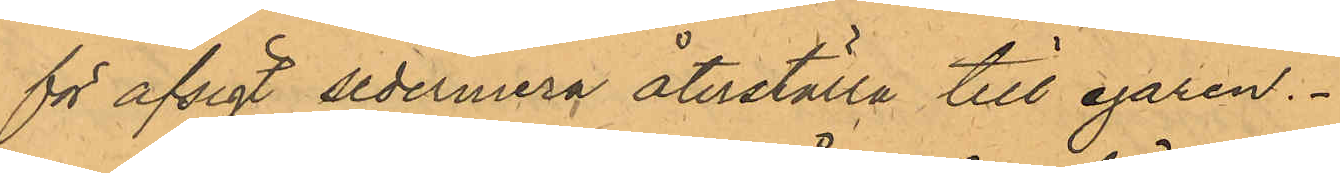för afsigt sedermera återställa till egaren.
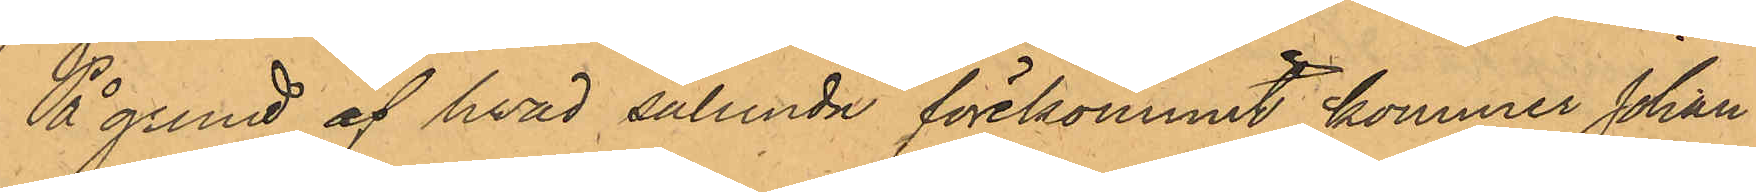På grund af hvad sålunda förekommit kommer Johan
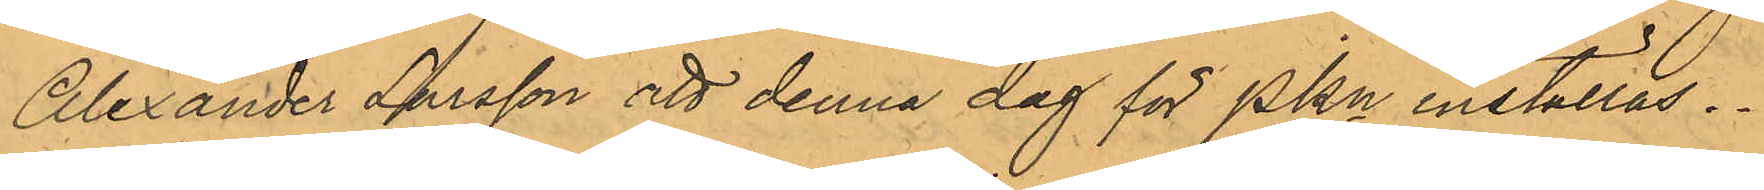Alexander Larsson att denna dag för PKn inställas.
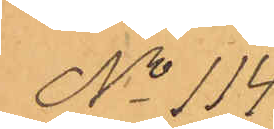No 114.
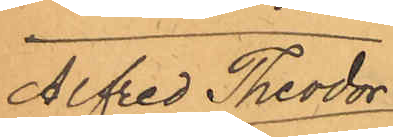Alfred Theodor
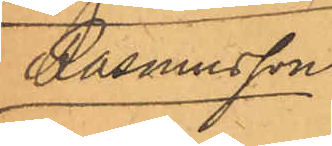Rasmusson
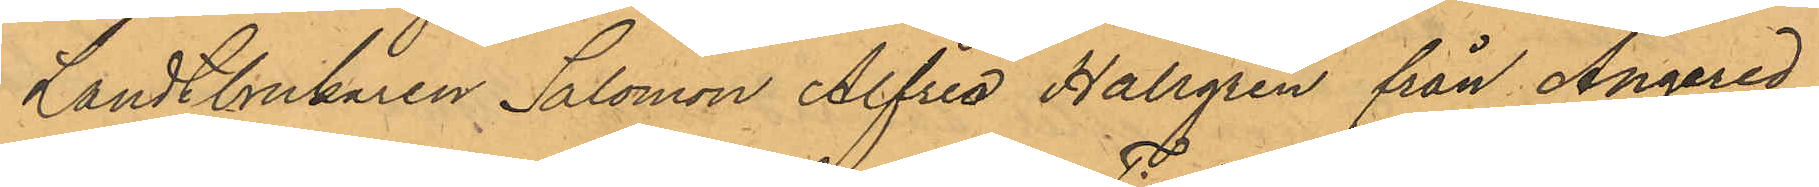Landtbrukaren Salomon Alfred Hallgren från Angered
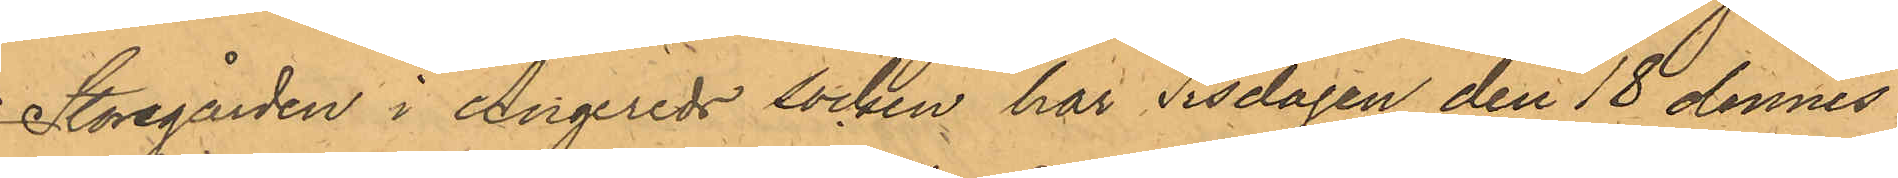Storegården i Angereds socken har Tisdagen den 18 dennes
